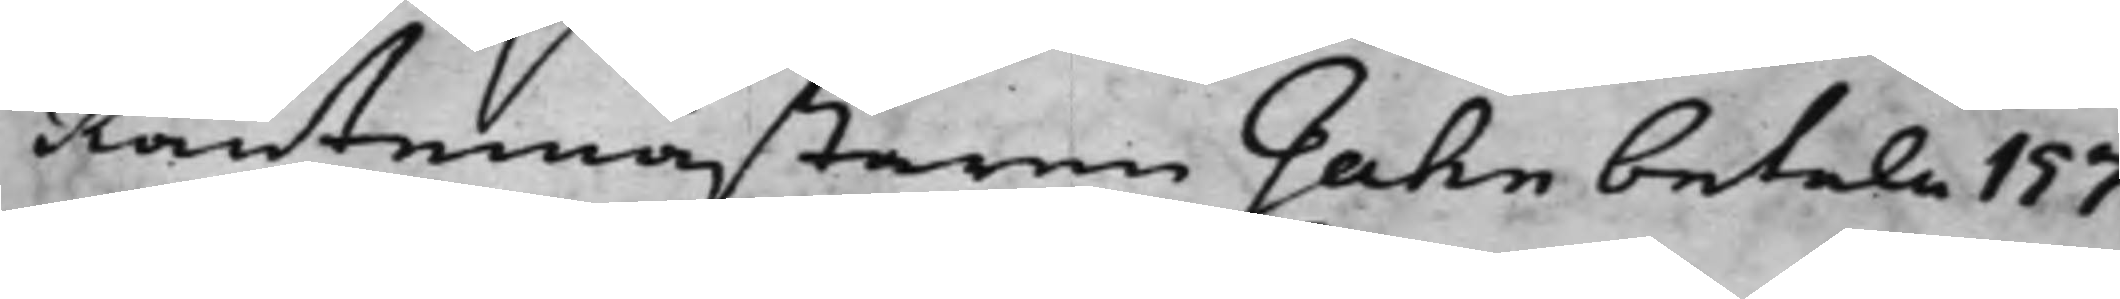Räntemästaren Gahn betala 157
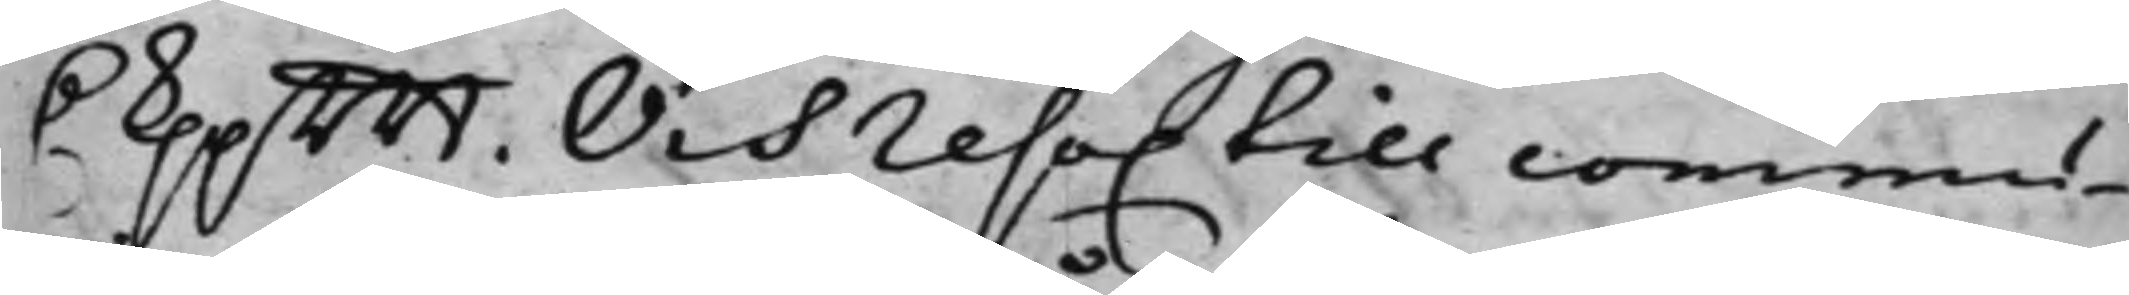D. kppmt Och reso. till commu¬
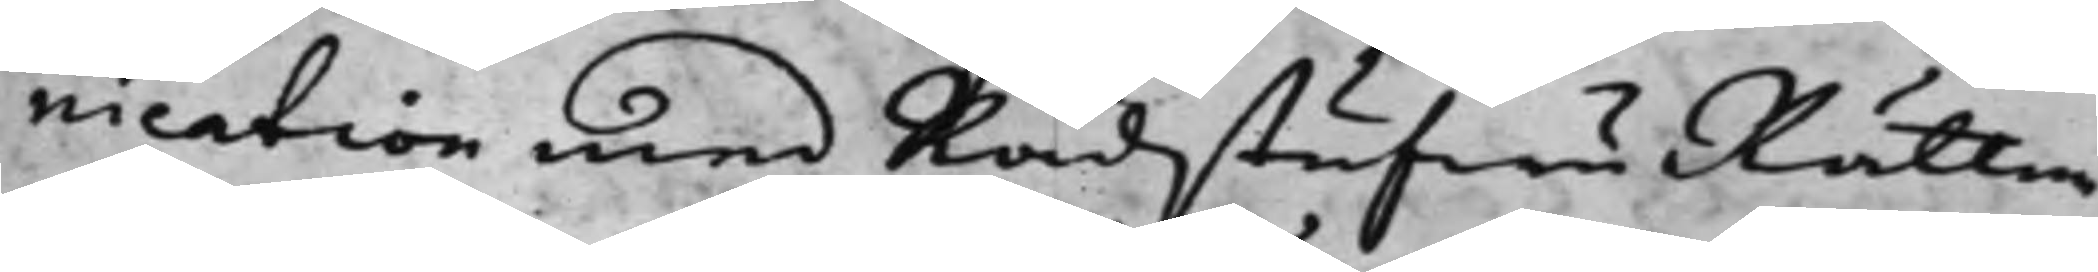nication med RådstufwuRätten
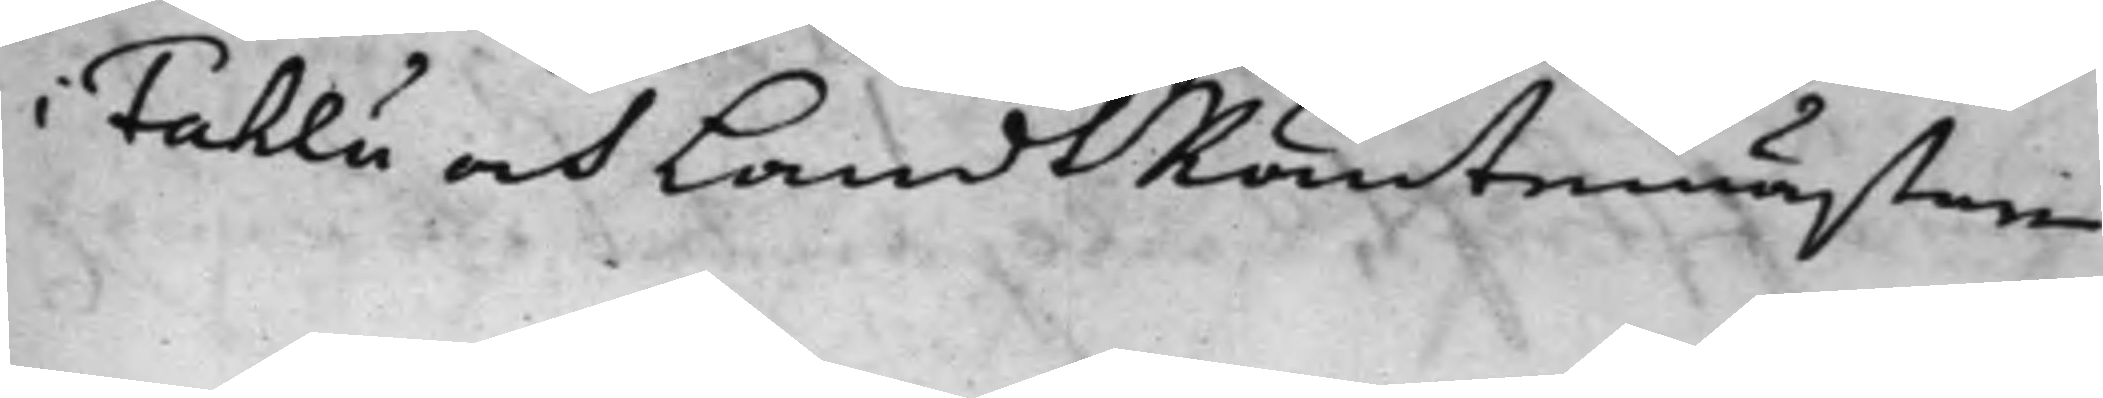Fahlu och LandsRäntemästaren
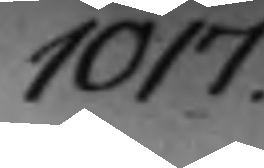1017.
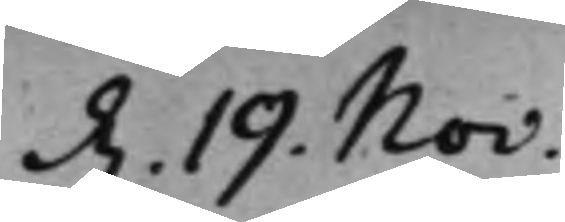d. 19. Nov:
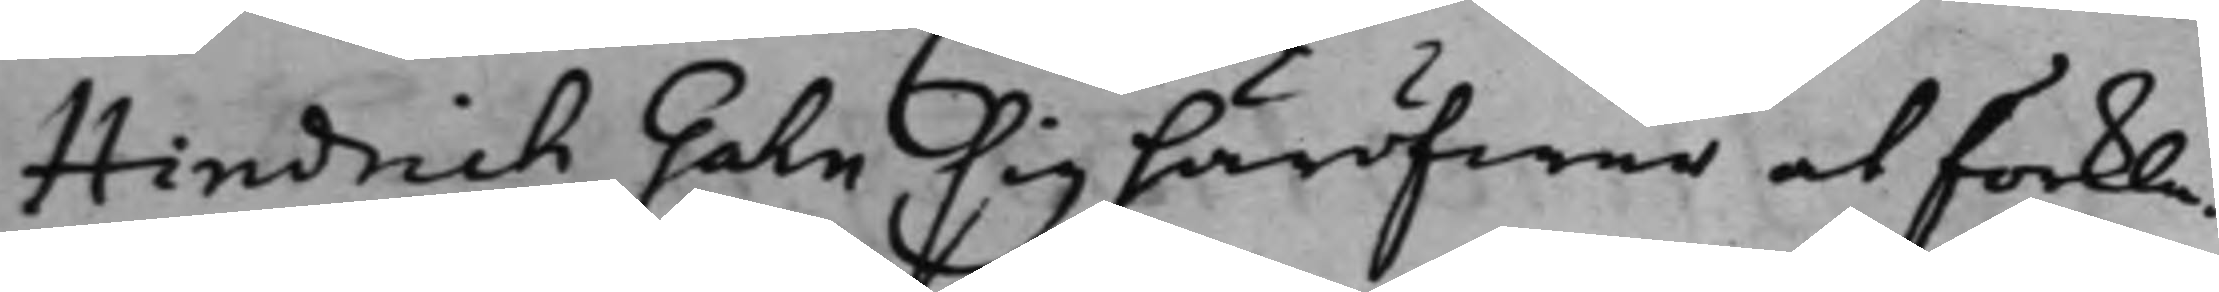Hindrich Gahn sig häröfwer at förkla¬
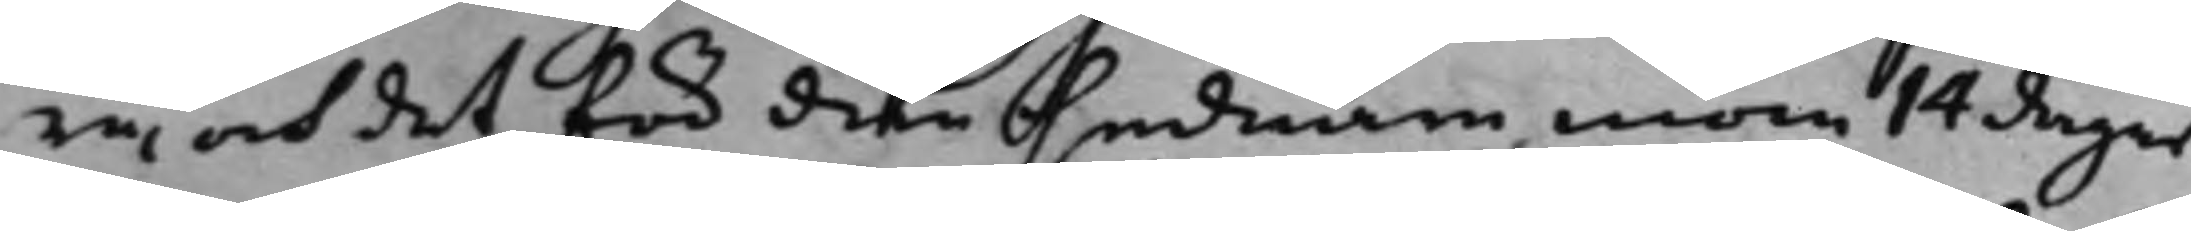ra, och det för den sednare inom 14 dagar
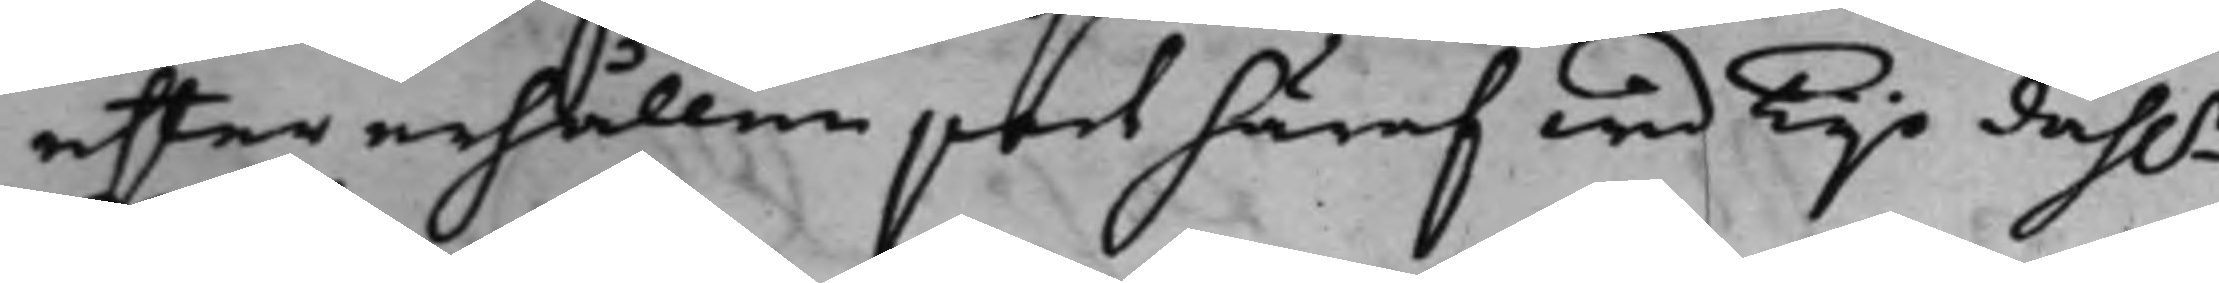efter erhållen part häraf wid Tijo dah.r
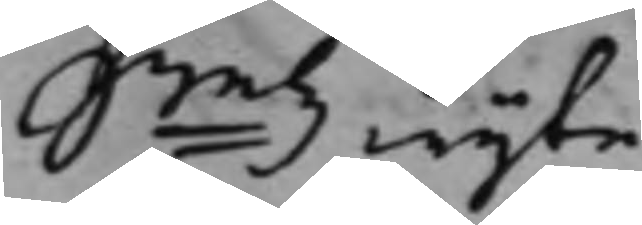Smtz wijte.
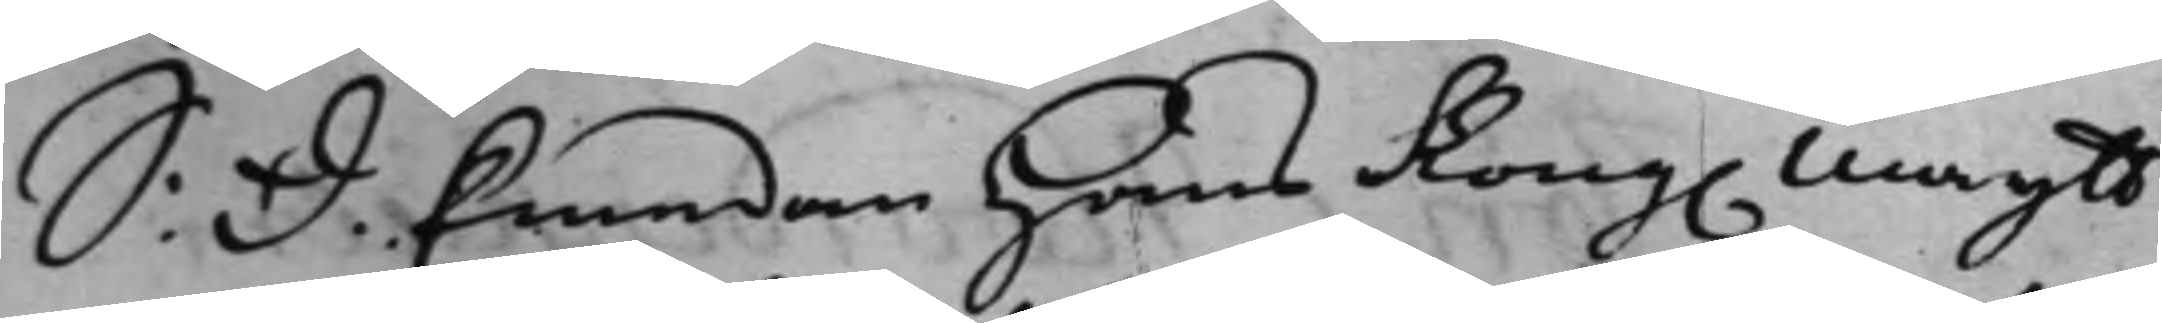S: D. Emedan Hans Kong. Maijtt
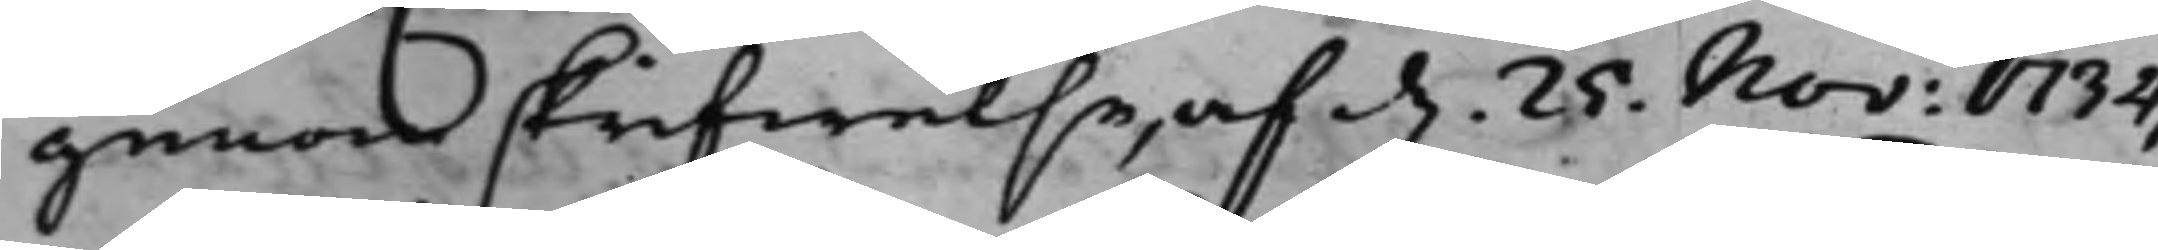genom skrifwelse, af d. 25. Nov: 1734,
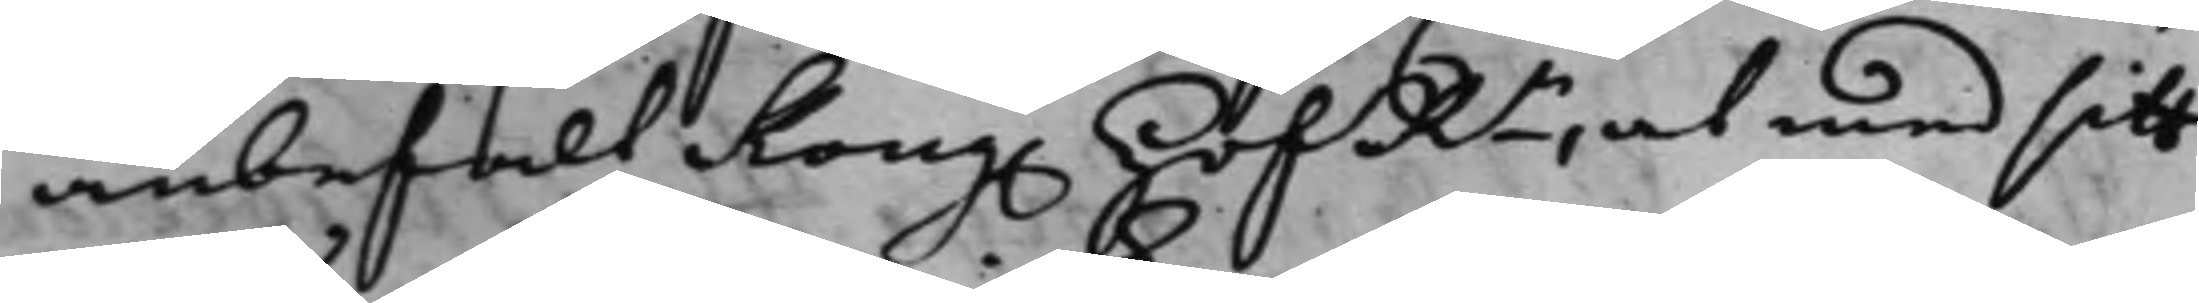anbefalt Kong. HofRn, at med sitt
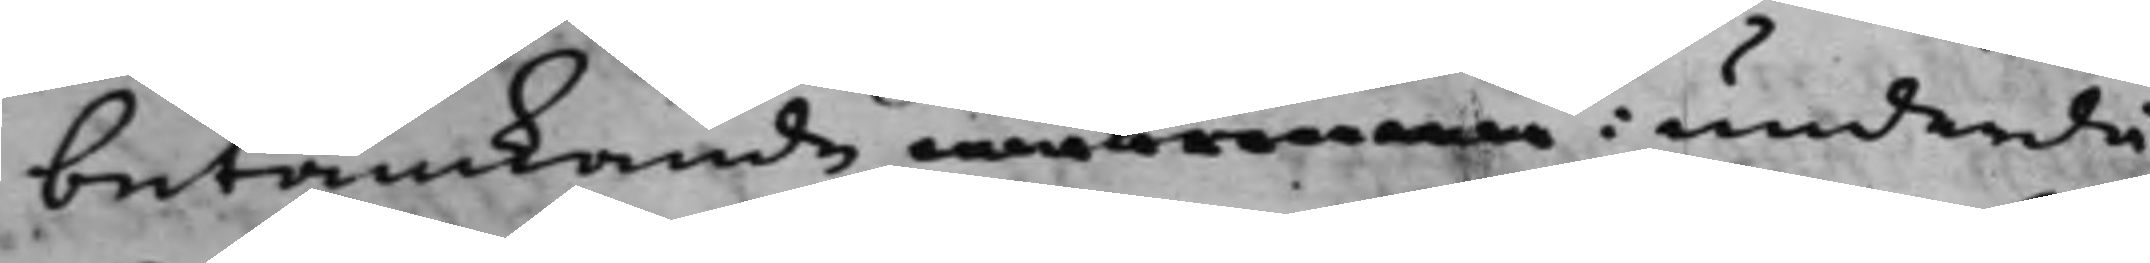betänkande inkomma i underdå¬
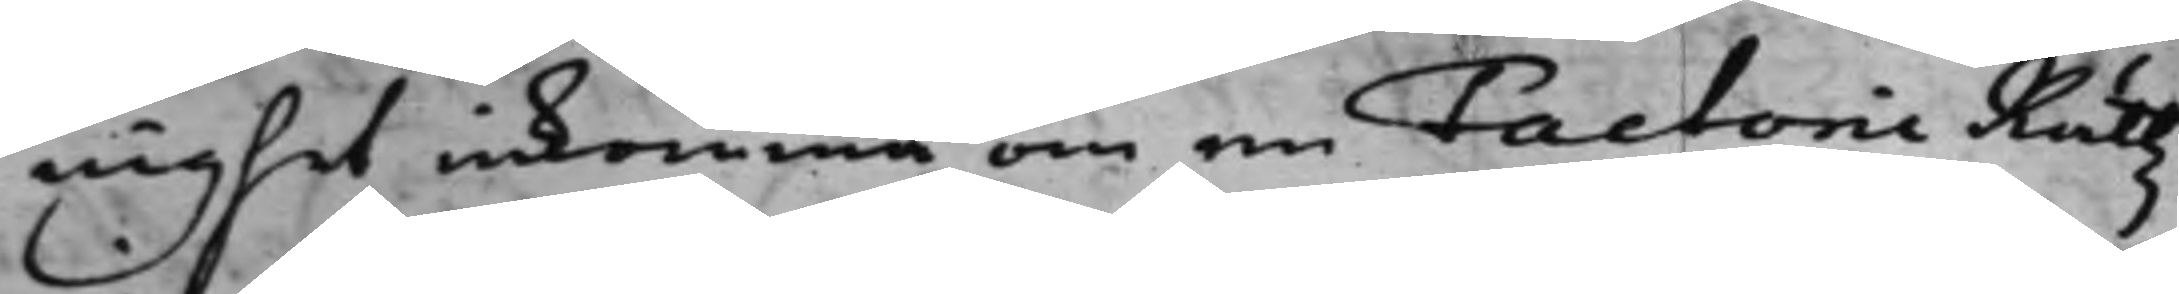nighet inkomma om en Factorie Rättz
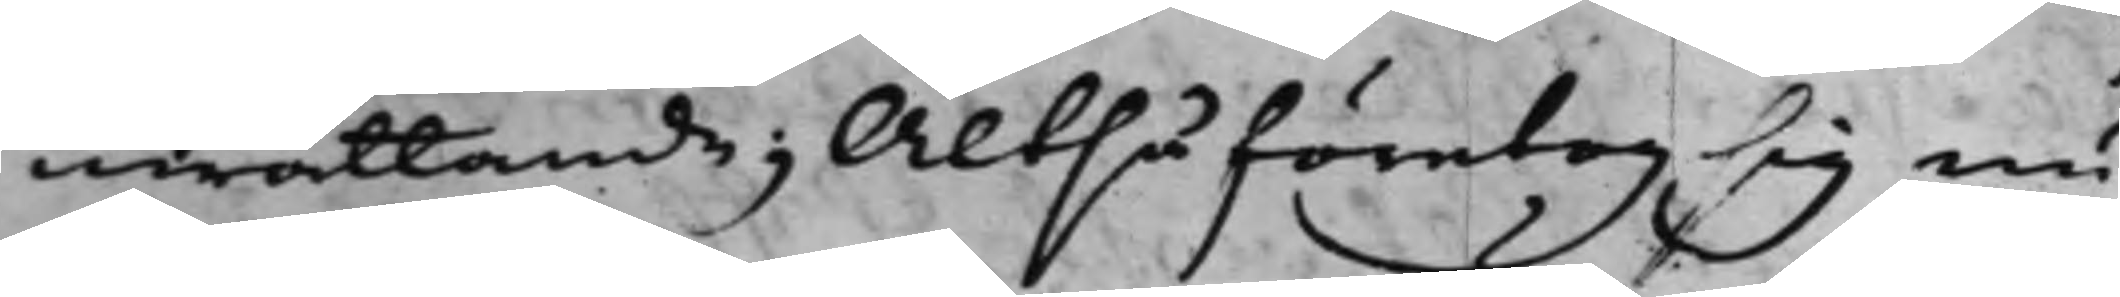inrättande; Altså företog sig nu
